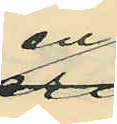en
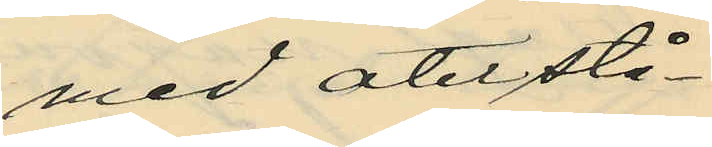med återstå¬
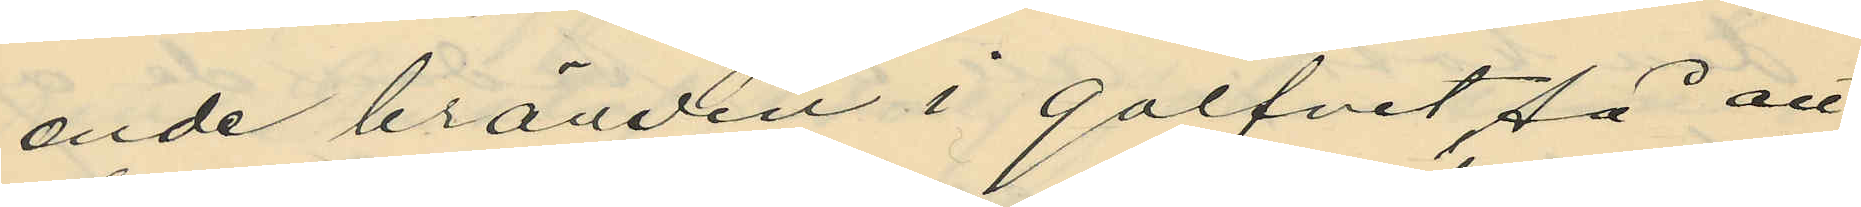ende bränvin i golfvet, så att
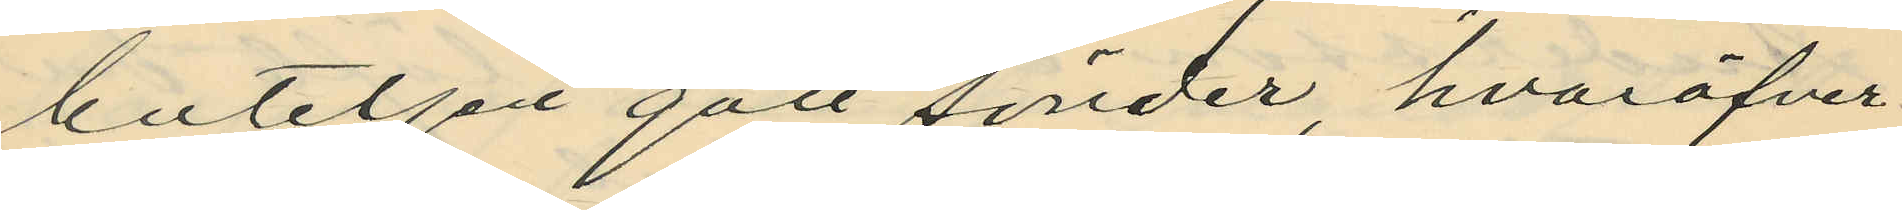buteljen gått sönder, hvaröfver
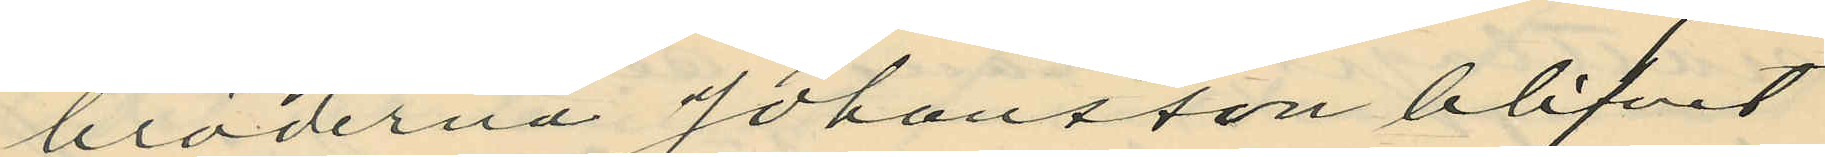bröderna Johansson blifvit
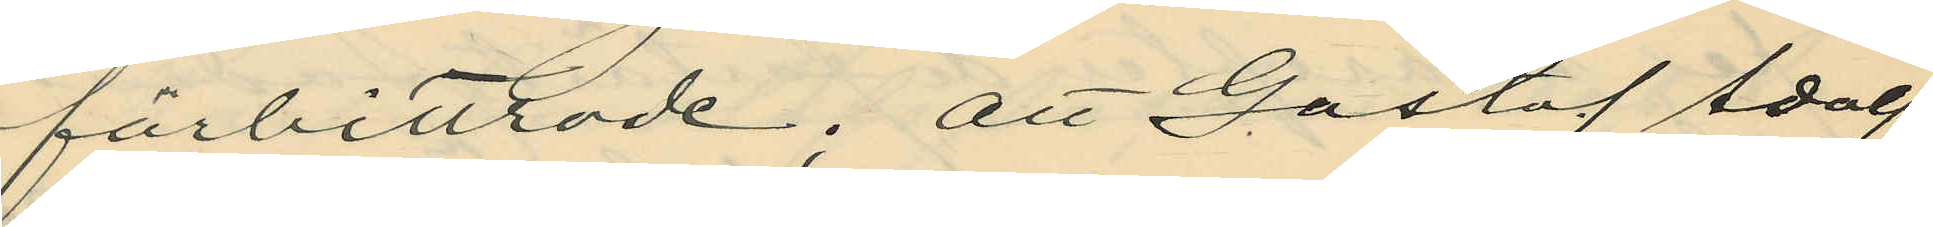förbittrade; att Gustaf Adolf
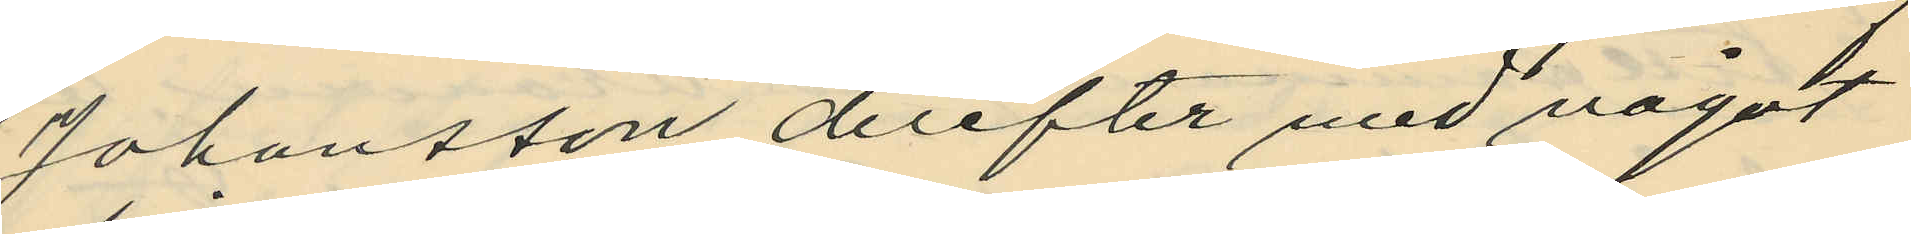Johansson derefter med något
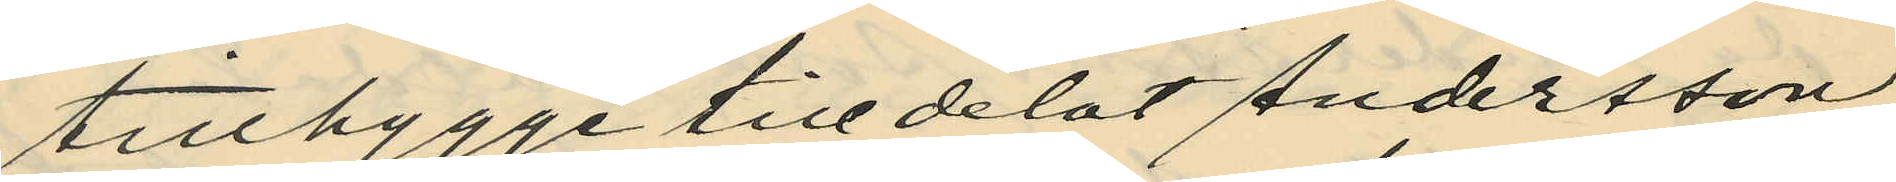tillbygge tilldelat Andersson
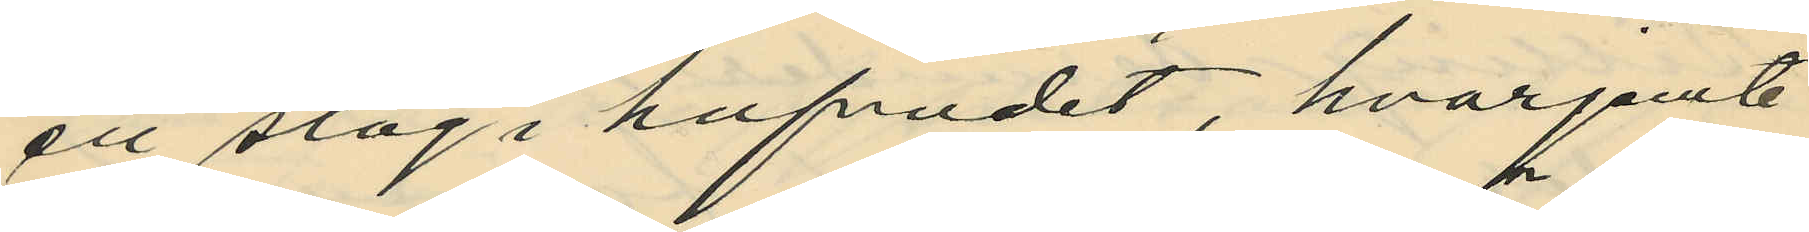ett slag i hufvudet, hvarjemte
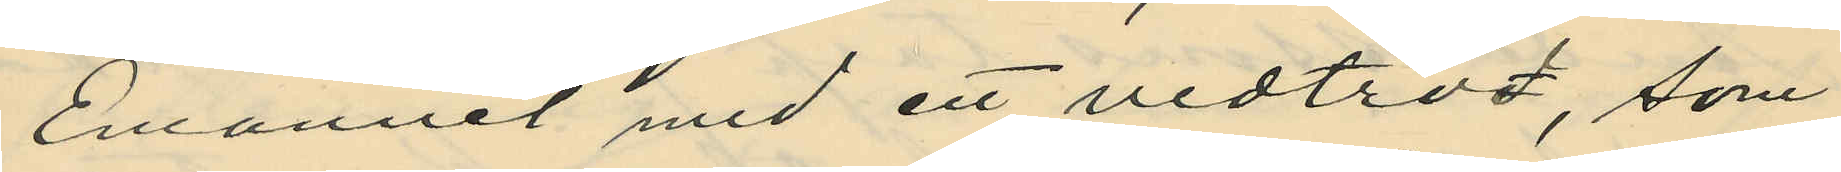Emanuel med ett vedträd, som
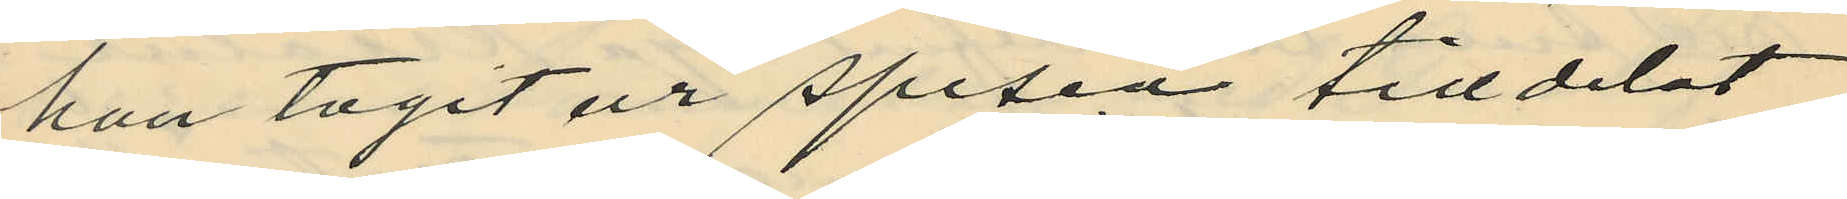han tagit ur spisen, tilldelat
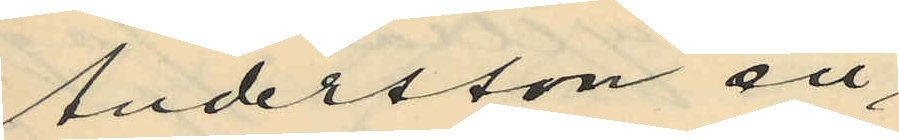Andersson en
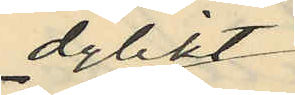dylikt
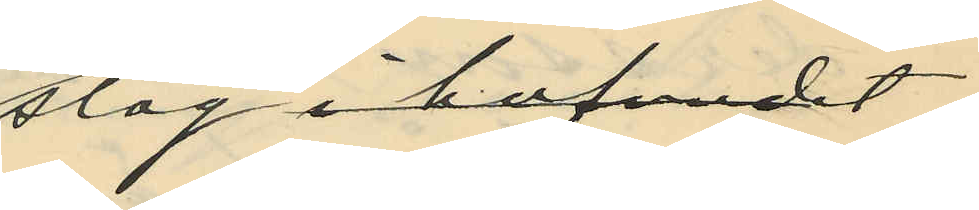slag i hufvudet
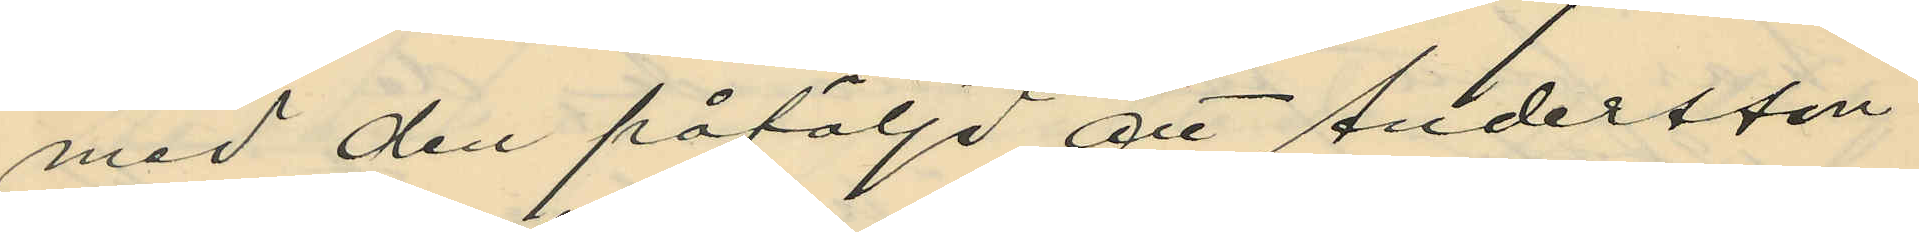med den påföljd att Andersson
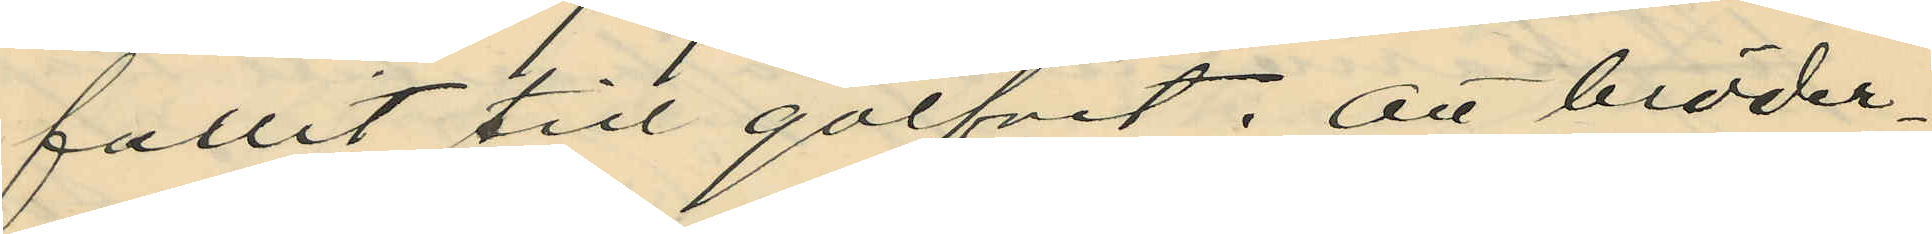fallit till golfvet; att bröder¬
